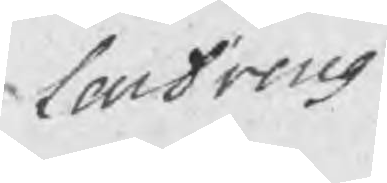Lardreng
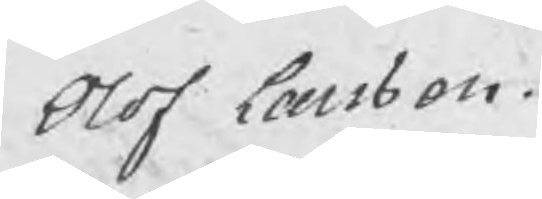Olof Larsson.
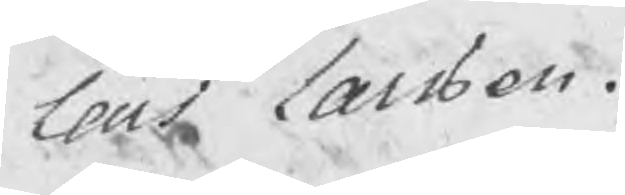Lars Larsson.
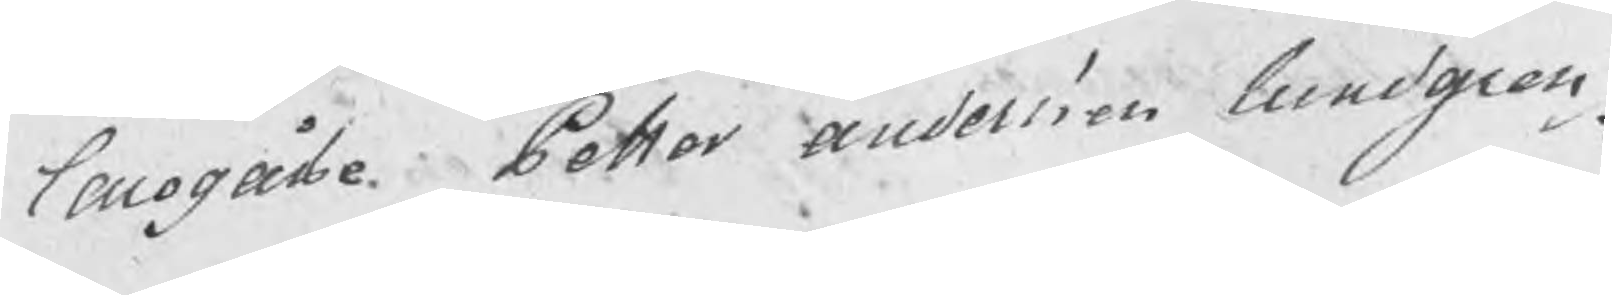Larogåsse Petter Andersson Lundgren
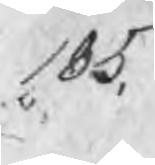185.
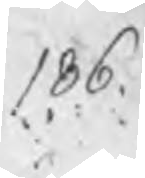186.
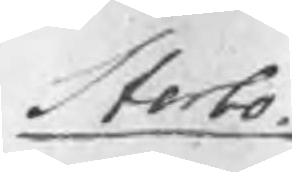Storbo.
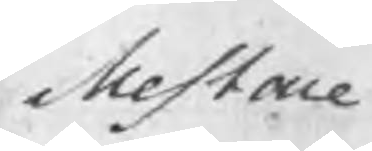Mestare
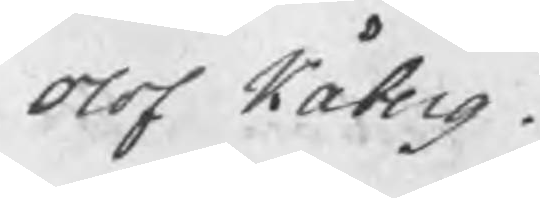Olof Kåberg .
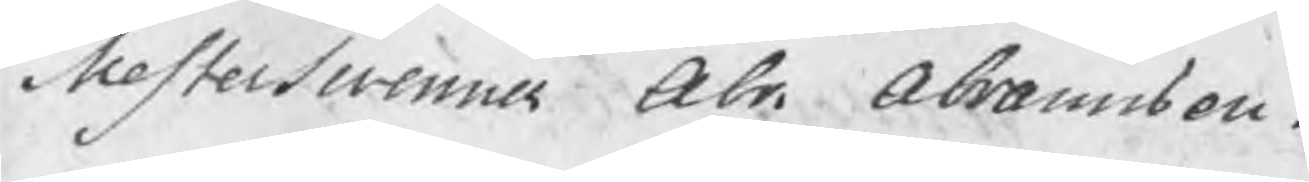Mesterswenner Abr. Abramsson.
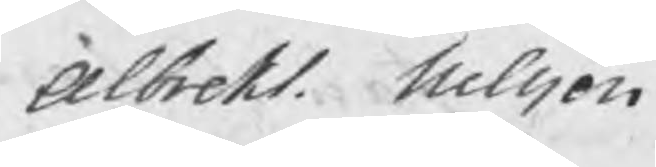Albrekt Nilsson
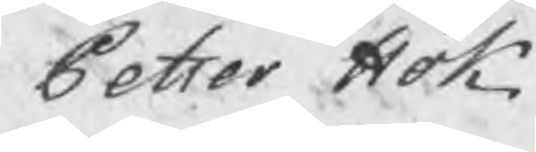Petter Hök.
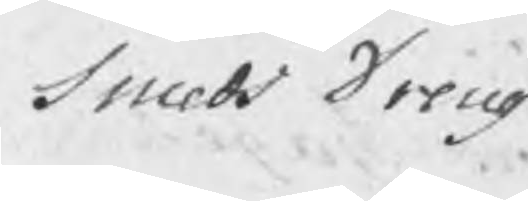Smeds Dreng
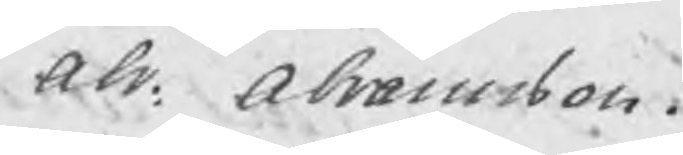Abr. Abramsson.
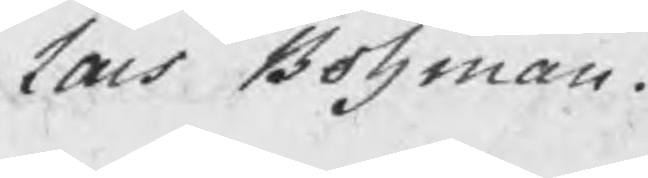Lars Bohman.
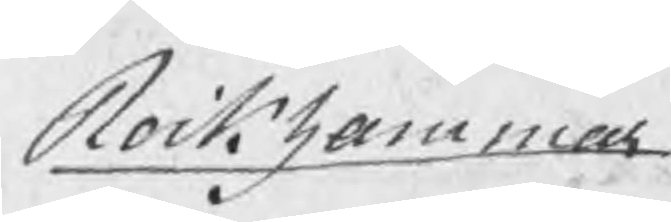Rockhammar
